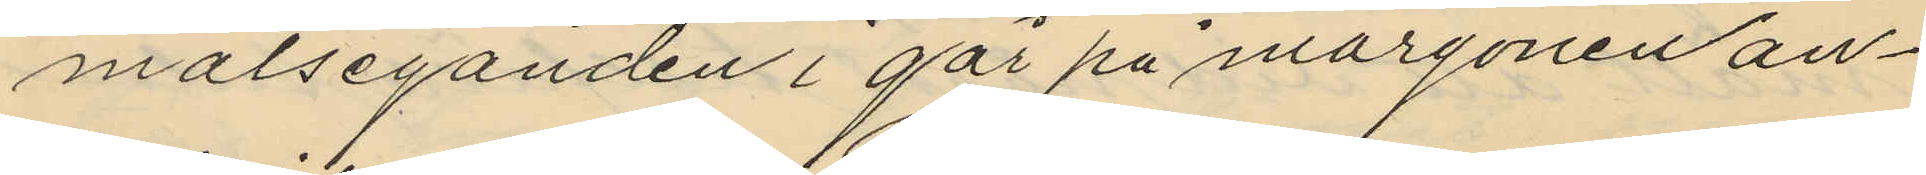målseganden i går på morgonen an¬
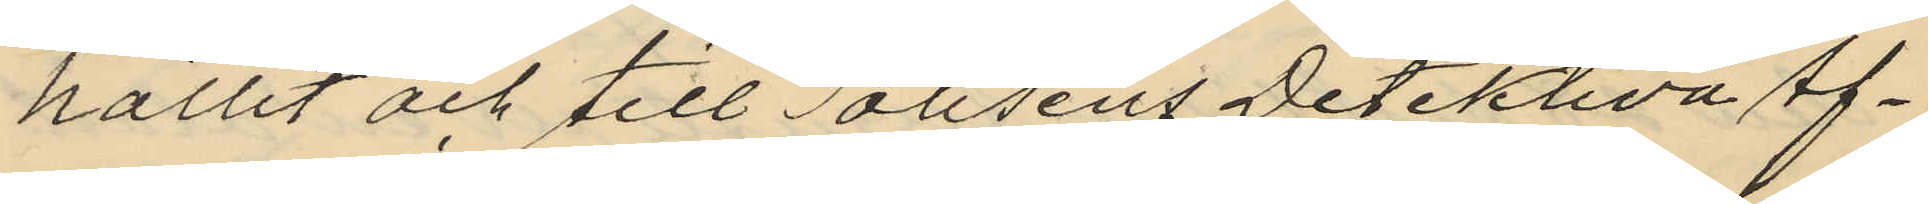hållit och till Polisens Detektiva Af¬
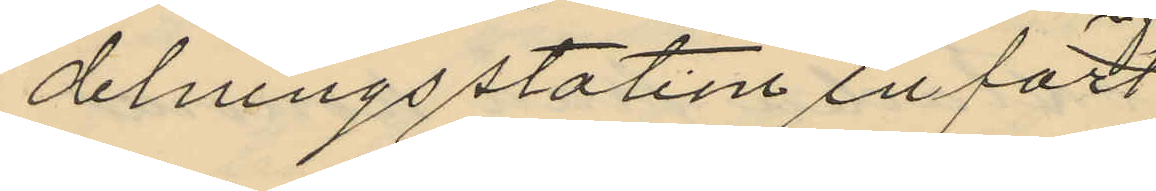delningsstation infört
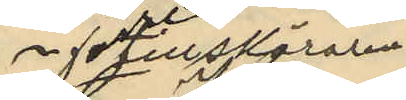f d tillskäraren
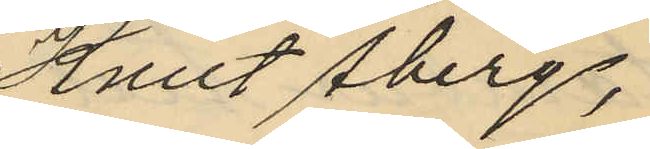Knut Åberg,
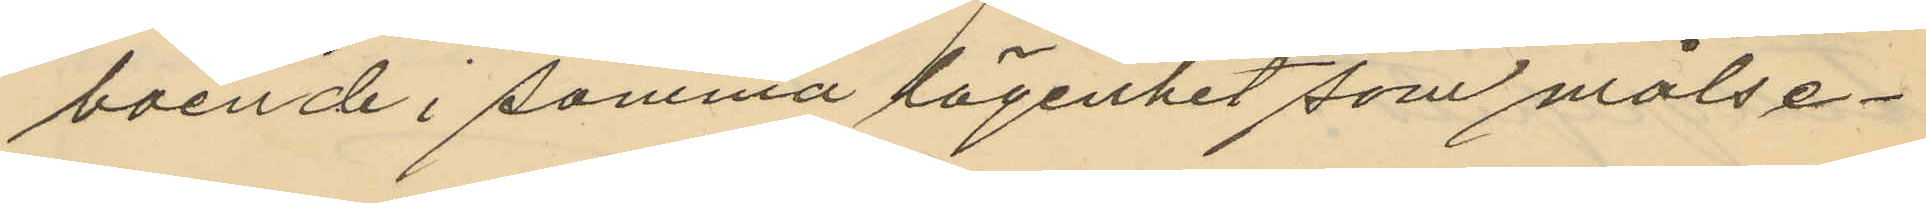boende i samma lägenhet som målse¬
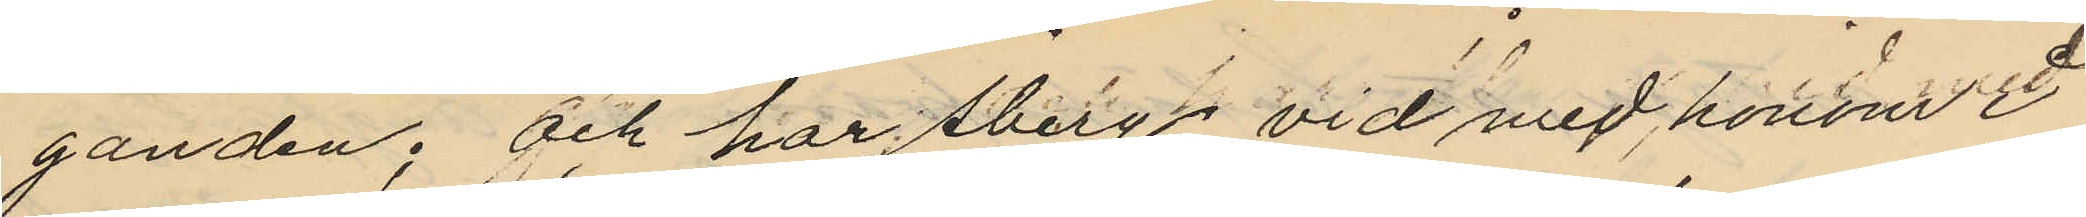ganden; och har Åberg vid med honom i
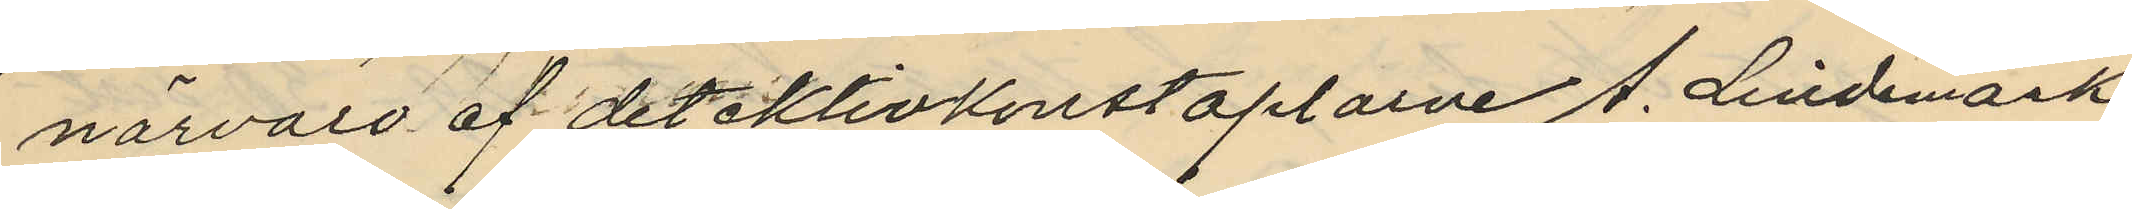närvaro af detektivkonstaplarne A. Lindmark
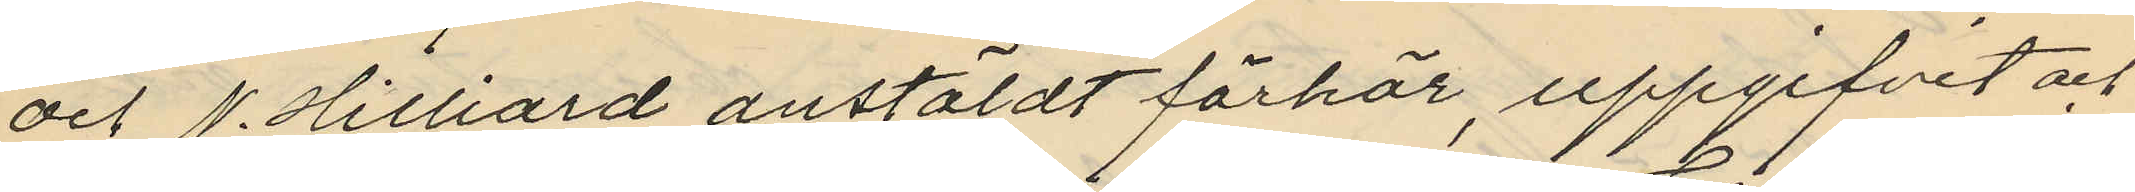och P. Hilliard anstäldt förhör, uppgifvit och
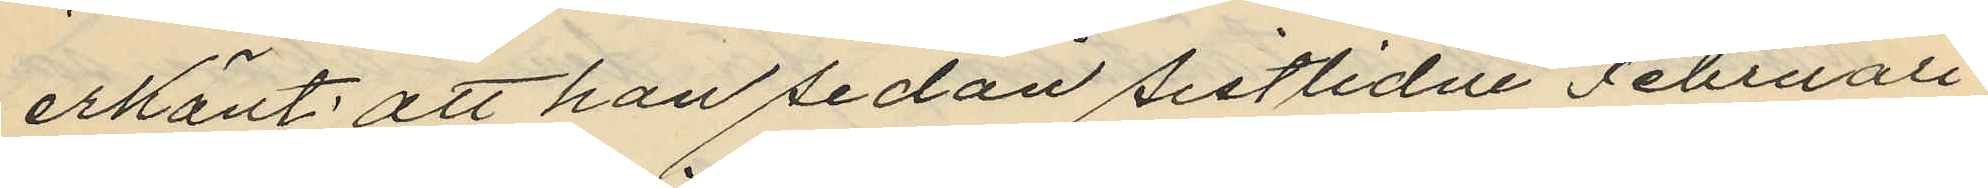erkänt; att han sedan sistlidne Februari
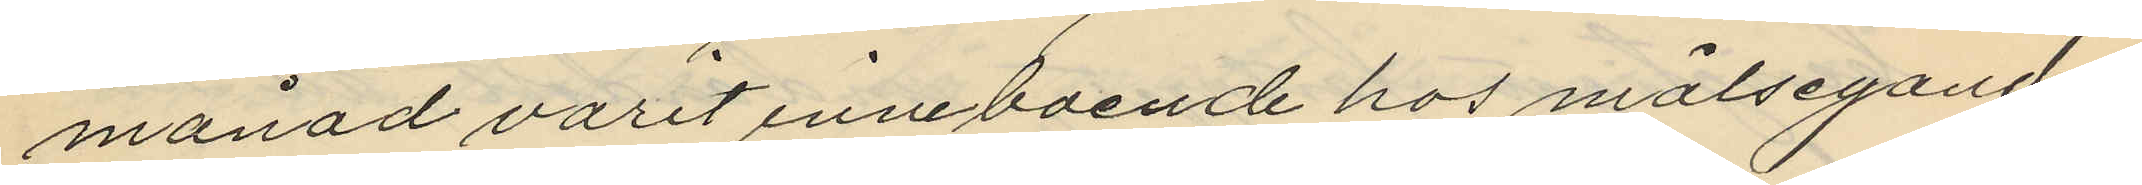månad varit inneboende hos målseganden;
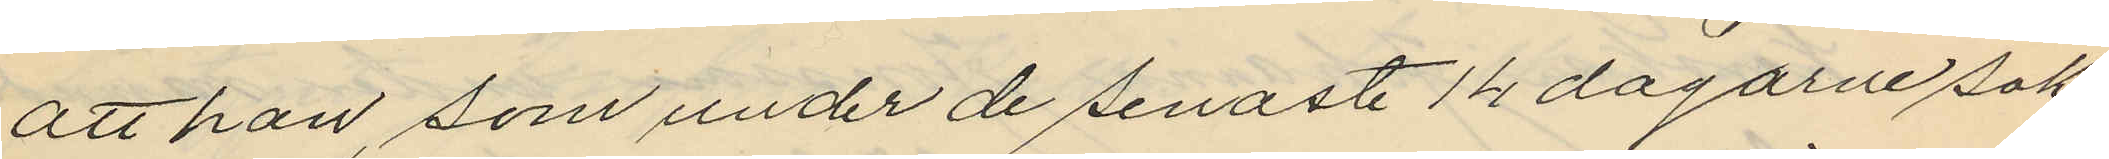att han, som under de senaste 14 dagarne sak¬
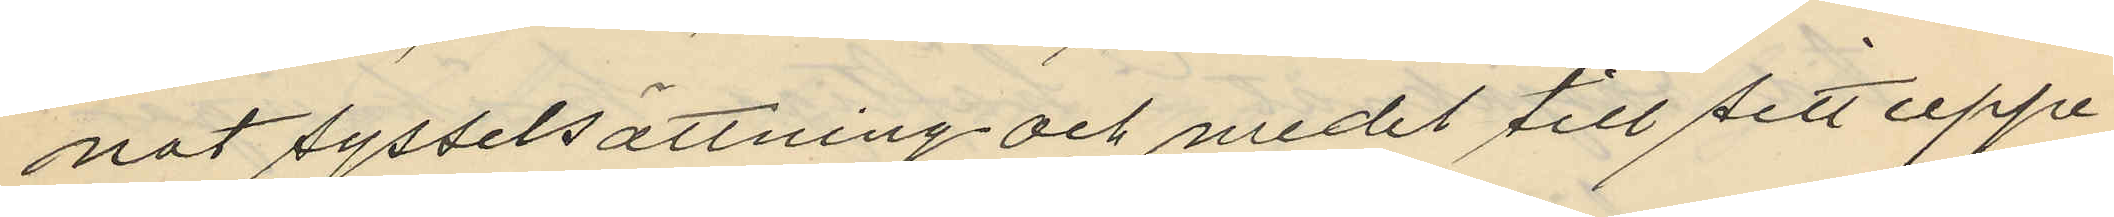nat sysselsättning och medel till sitt uppe¬
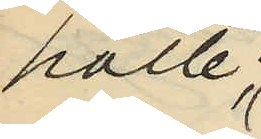hälle;
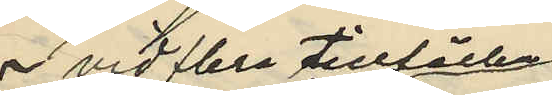 vid flera tillfällen
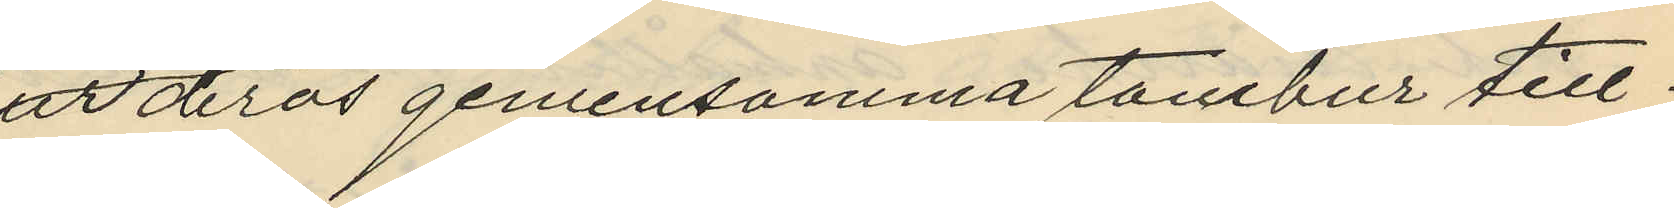ur deras gemensamma tambur till¬
